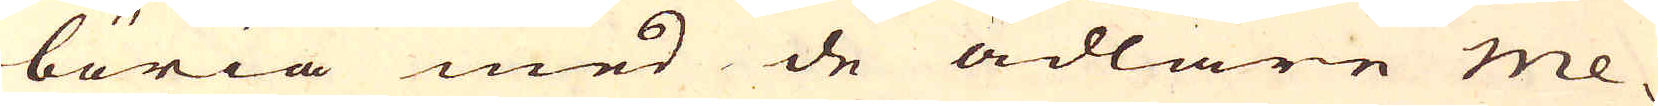böria med de ädlare me-
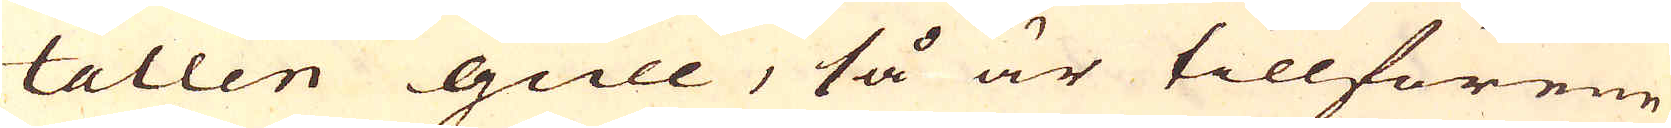tallen gull, så är tillförene
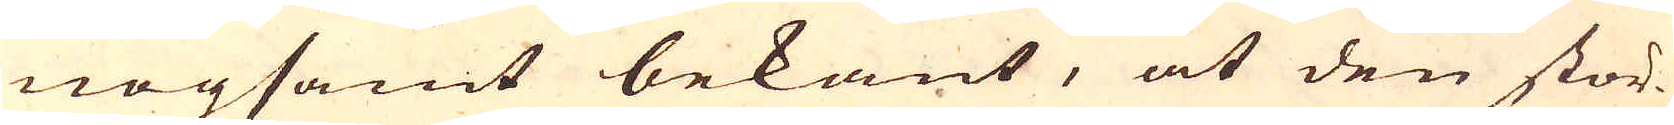nogsamt bekant, at den stör-
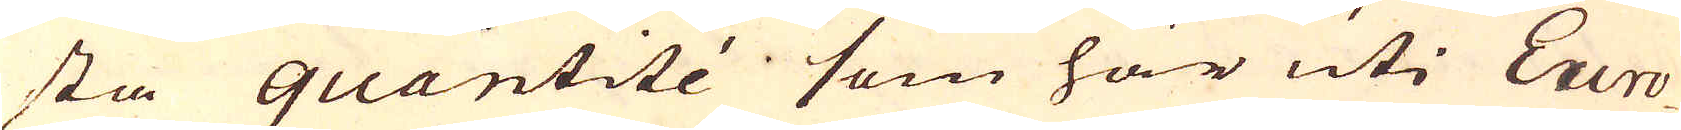sta quantité som här uti Euro-
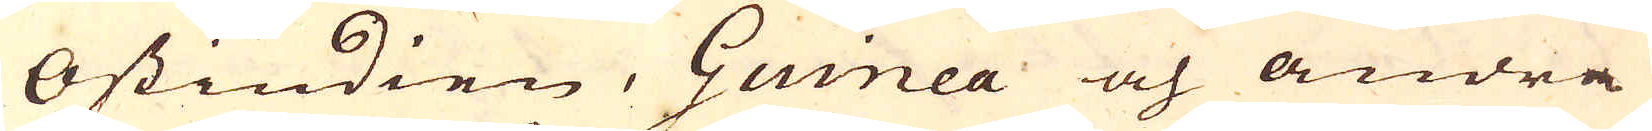Ostindien, Guinea och andra
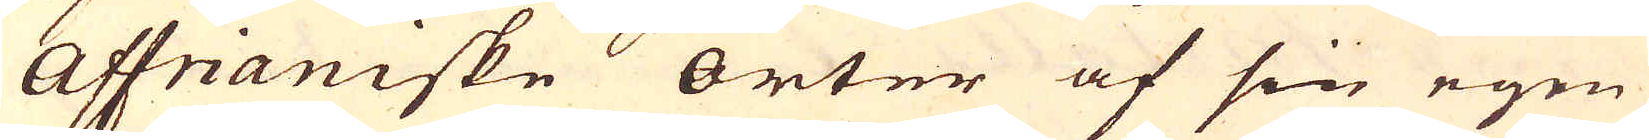Affrianiske orter af sin egen
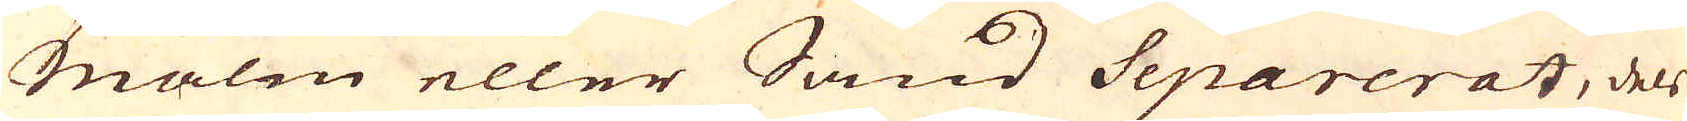Malm eller Sand Separerat, dels
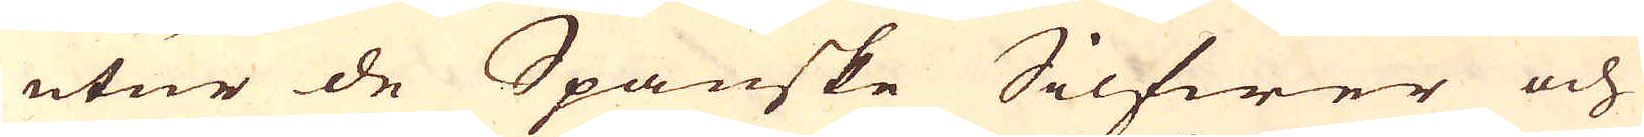utur de Spanske Silfwer och
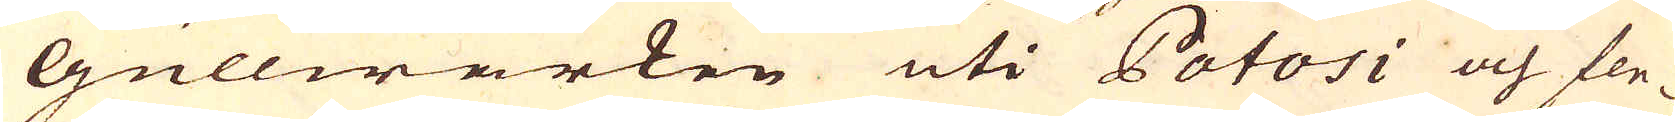Gullwärken uti Potosi och fle-
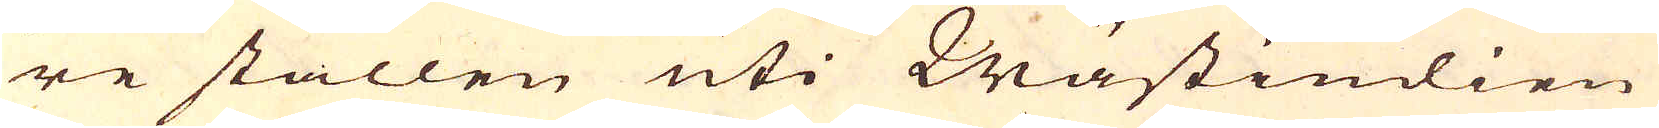re ställen uti Wästindien
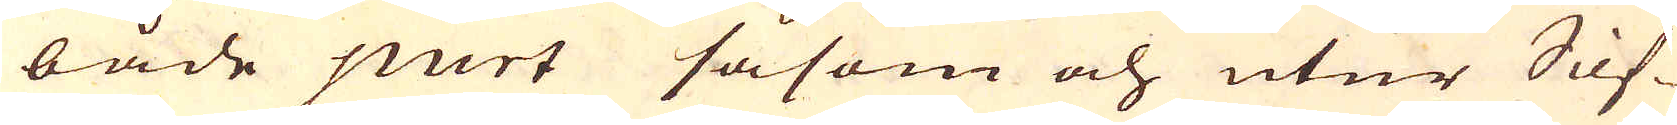både purt såsom och utur Silf-
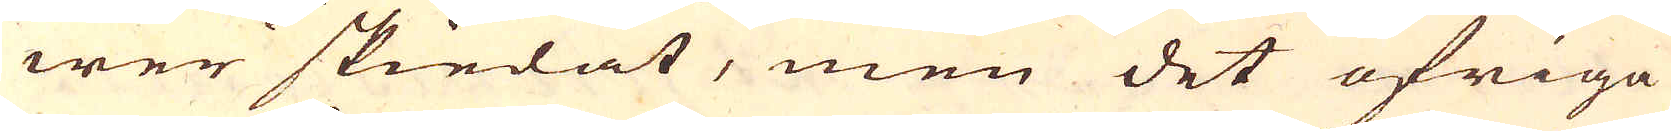wer skiedat, men det öfriga
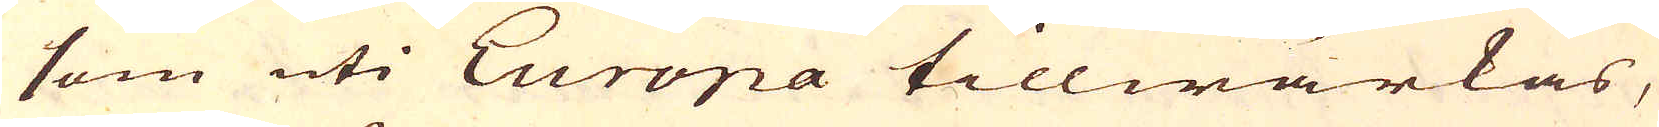som uti Europa tillwärkas,
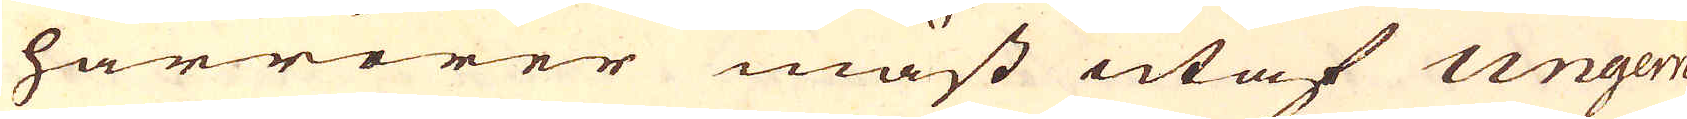härrörer mäst utaf Ungern
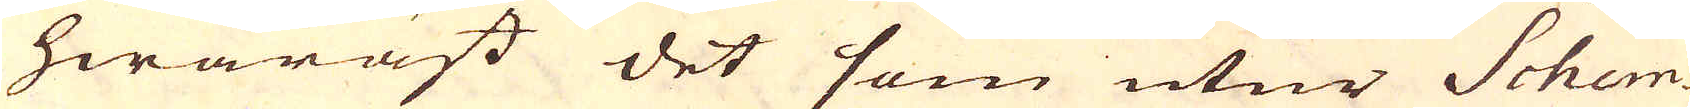hwaräst det som utur Schem-
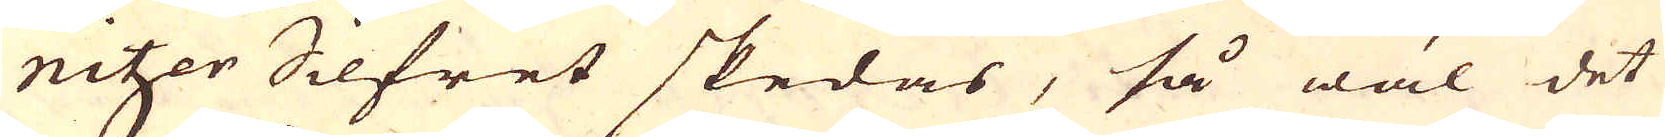nitzer Silfret skedas, så wäl det
